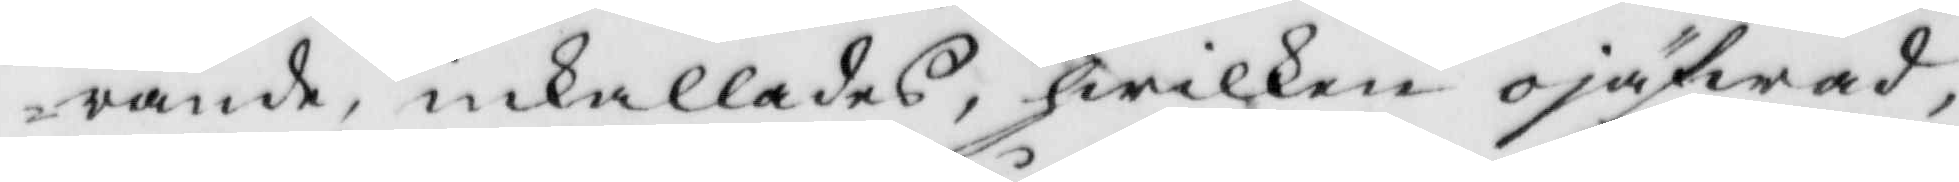rande, inkallades, hwilken ojäfwad,
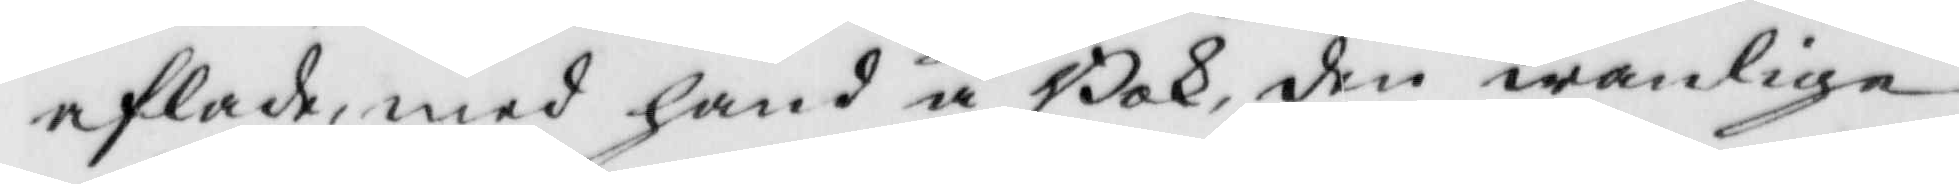aflade, med hand å Bok, den wanlige
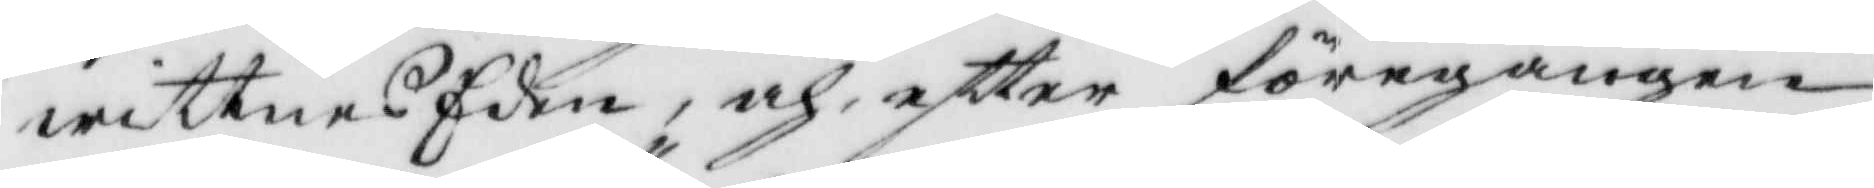wittnes Eden, och eftter föregången
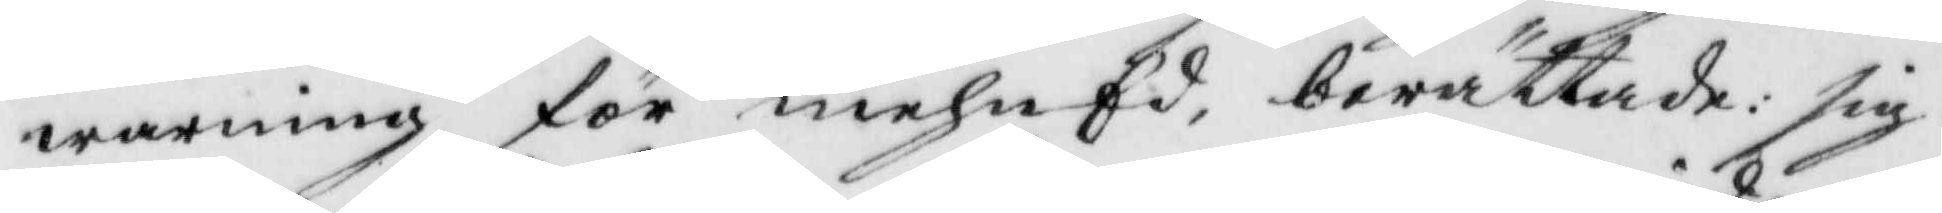warning för mehnEd, berättade: sig
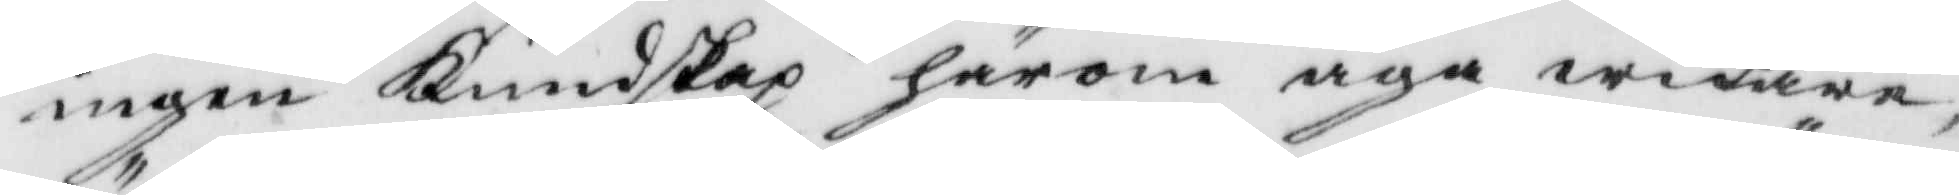ingen Kundskap härom äga widare
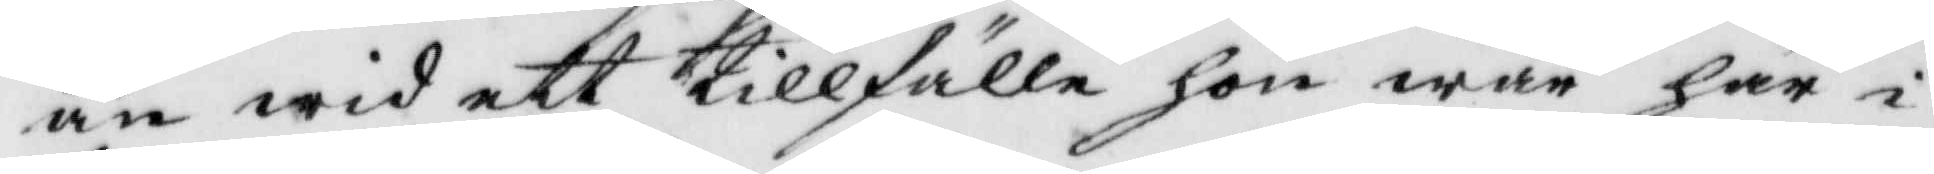än wid ett tillfälle hon war här i
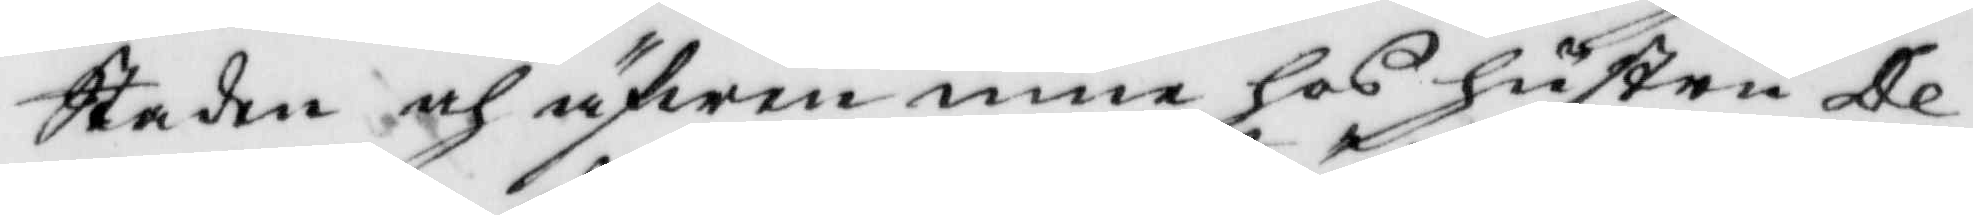Staden och äfwen inne hos hustru De¬
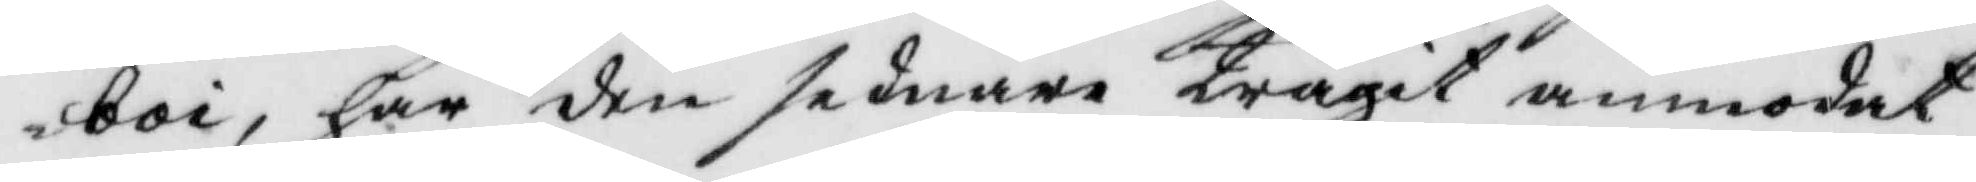boi, har den sednare trägit anmodat
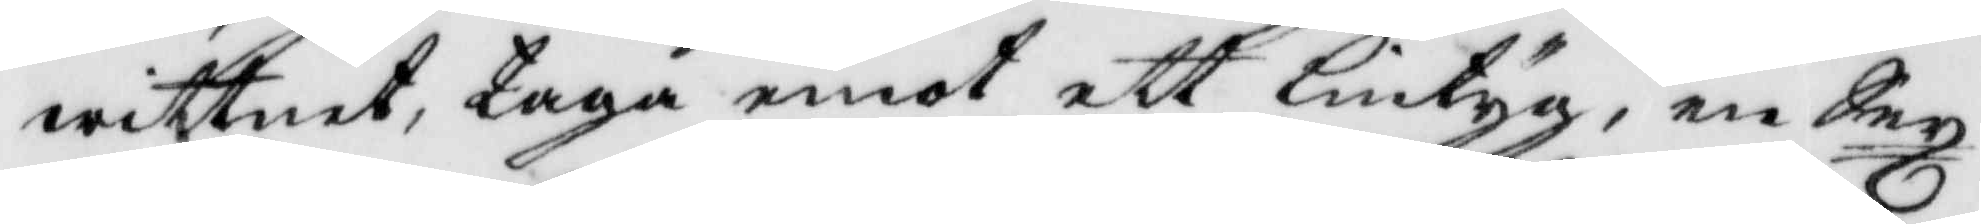wittnet, taga emot ett lintyg, en Sex¬
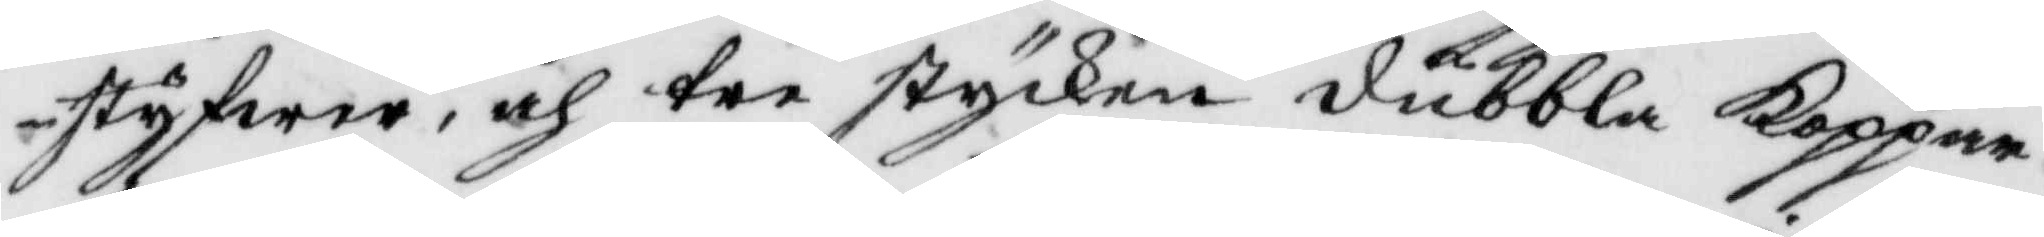styfwer, och tre stycken dubbla Koppar¬
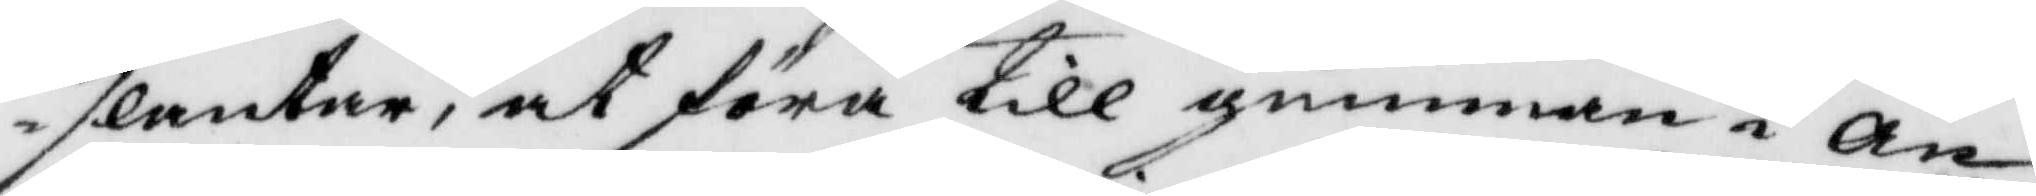slantar, at föra till gumman i an¬
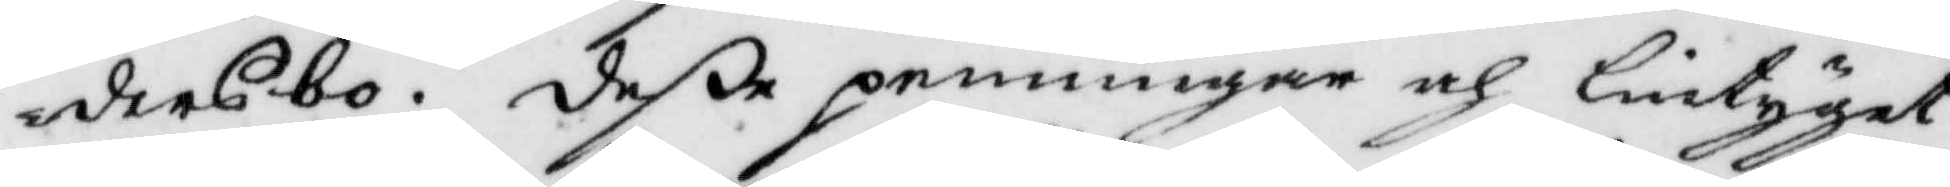dersbo. deße penningar och lintyget
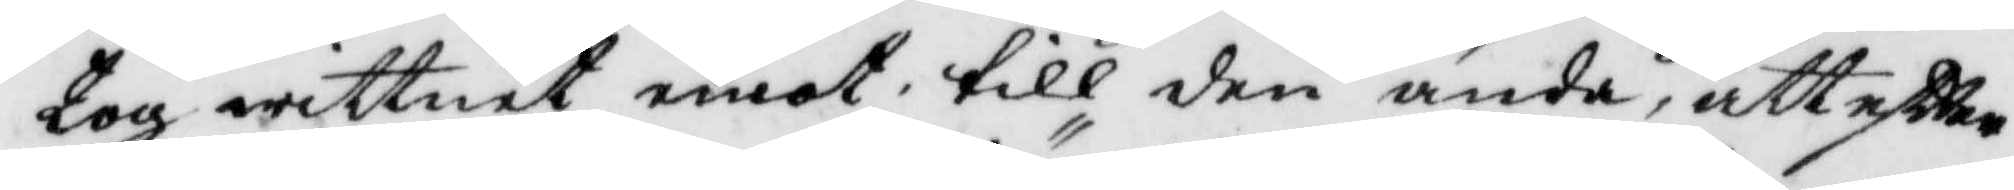tog wittnet emot till den ända, att eftter
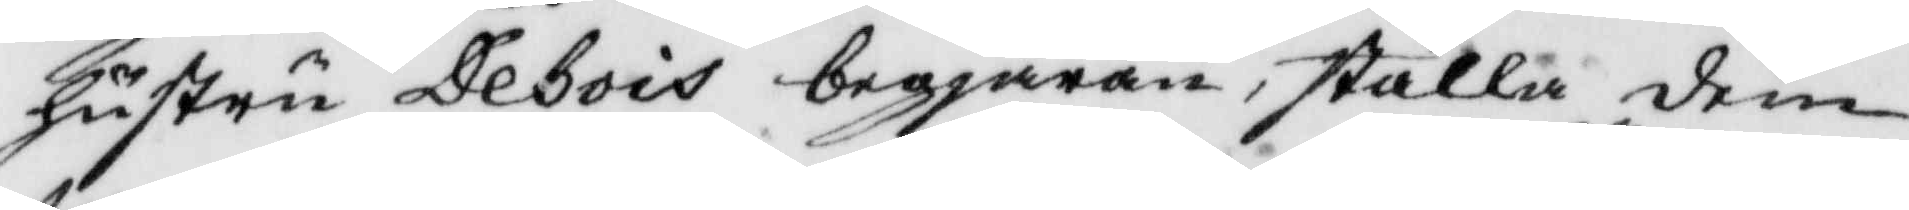hustru Debois begjäran, ställa dem
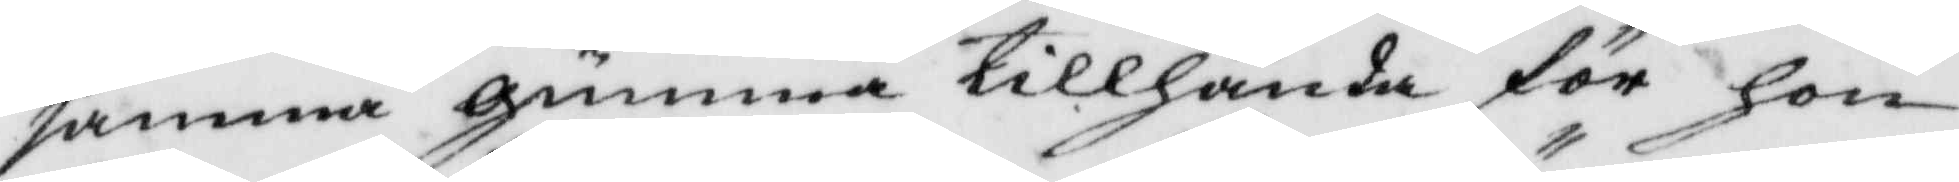samma gumma tillhanda för hon
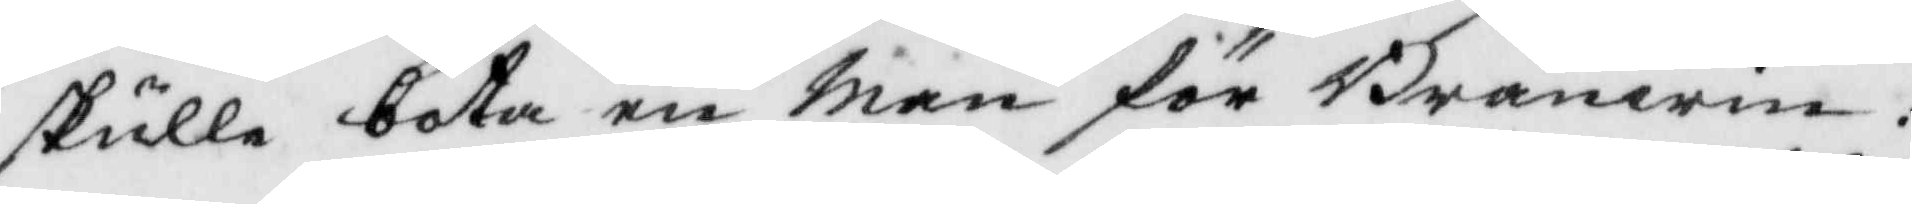skulle bota en Man för Bränwin:
